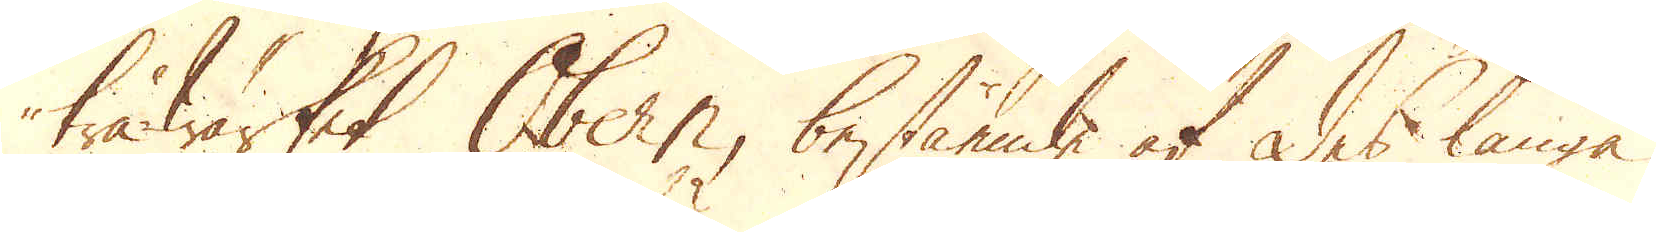träwärket Obern, bestående af des långa
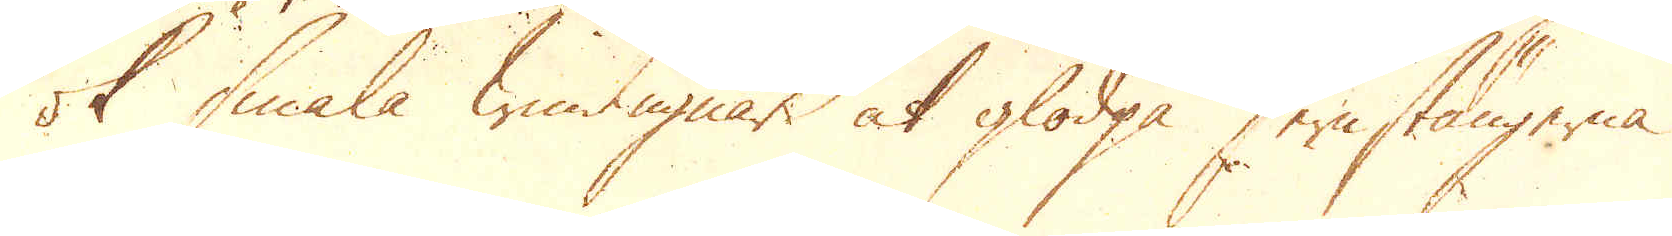ok smala windugnar at glödga Jernstängerna
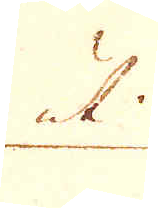uti
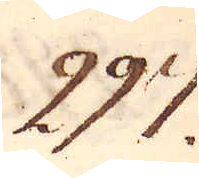297.
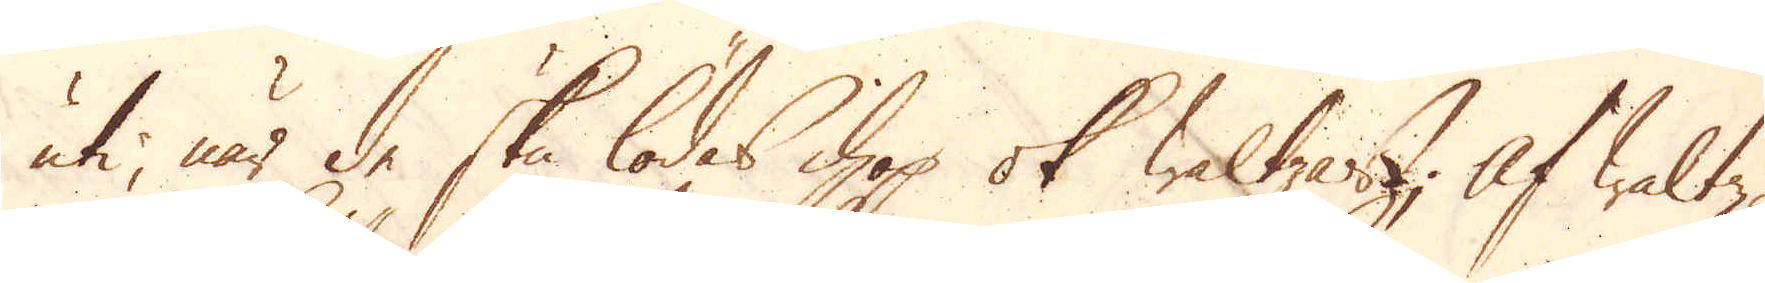uti, när de ska lödas ihop ok waltzas; Af waltz-
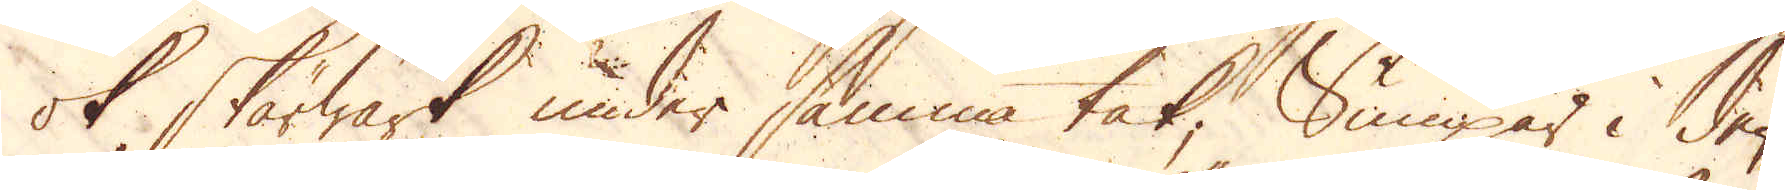ok Skärwärk under samma tak, Sumpar i den
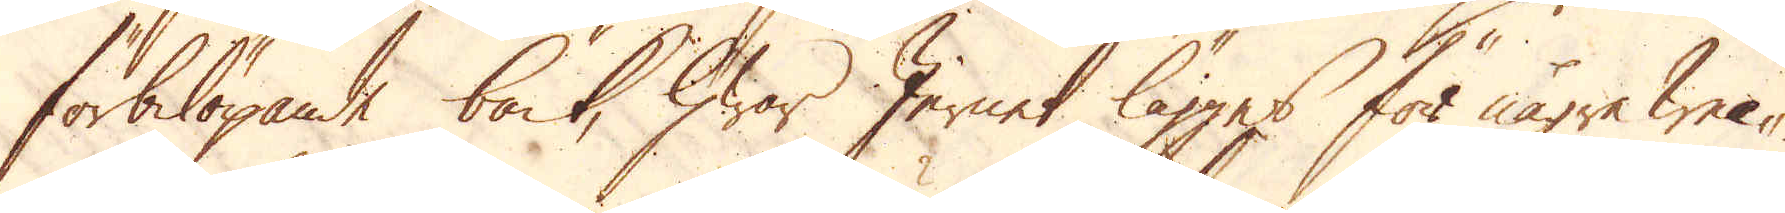förbilöpande bäck, hwar Jernet lägges för någre wec-
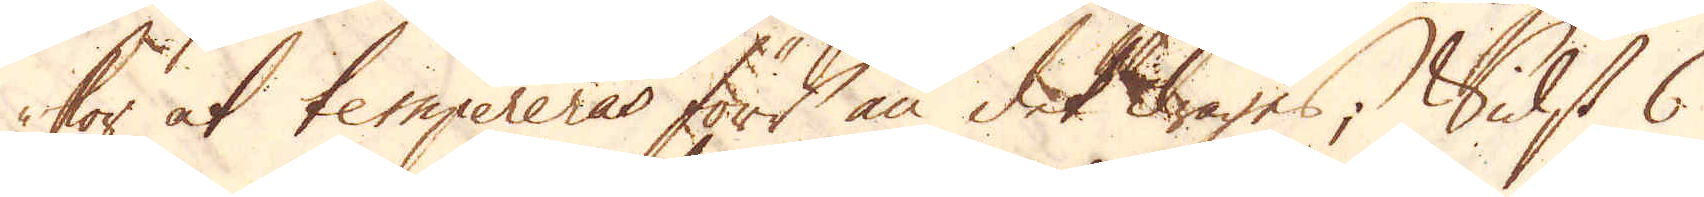kor at tempereras förr än det drages; Sidst 6
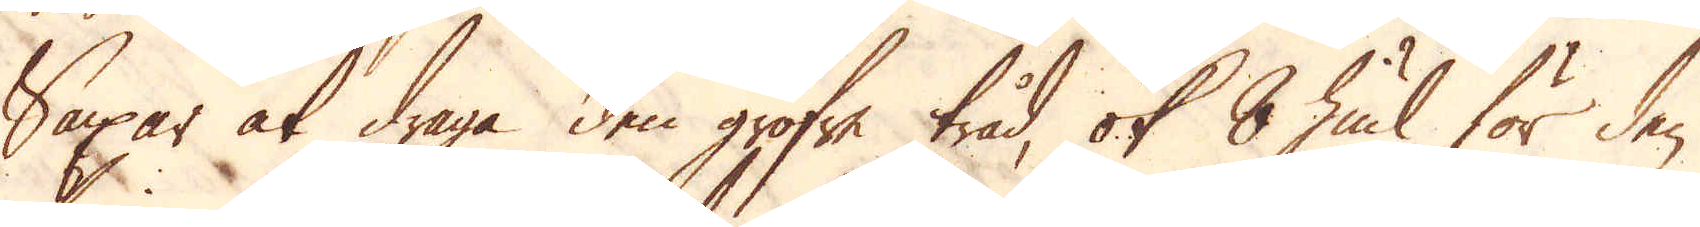Saxar at draga den gröfre tråd, ok 8 hiul för den
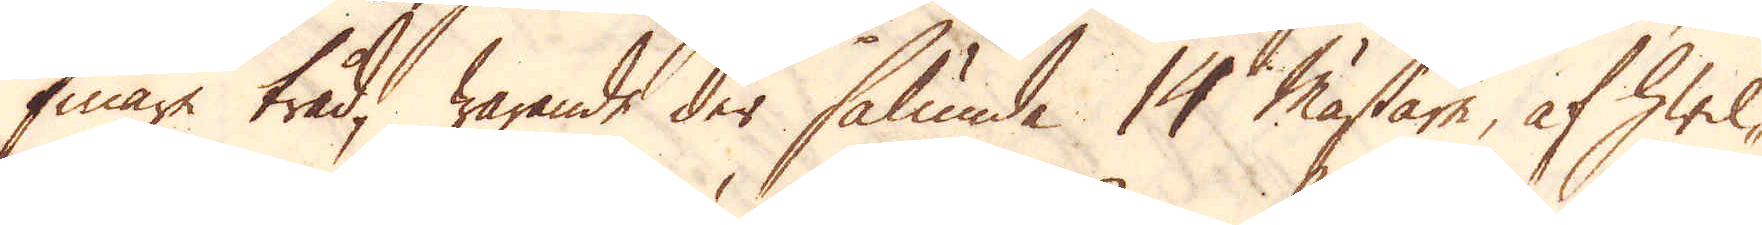finare tråd, warande der sålunda 14 mästare, af hwil-
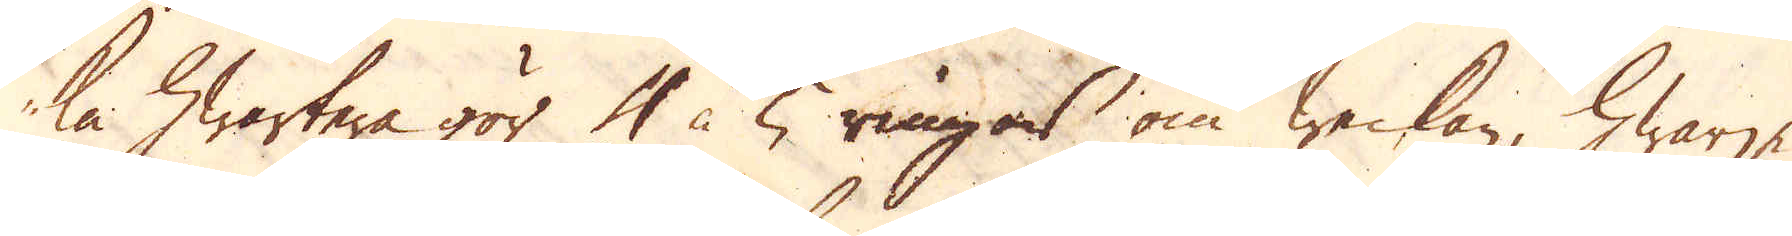ka hwartera gör 4 à 5 ringar om weckan, hwarje
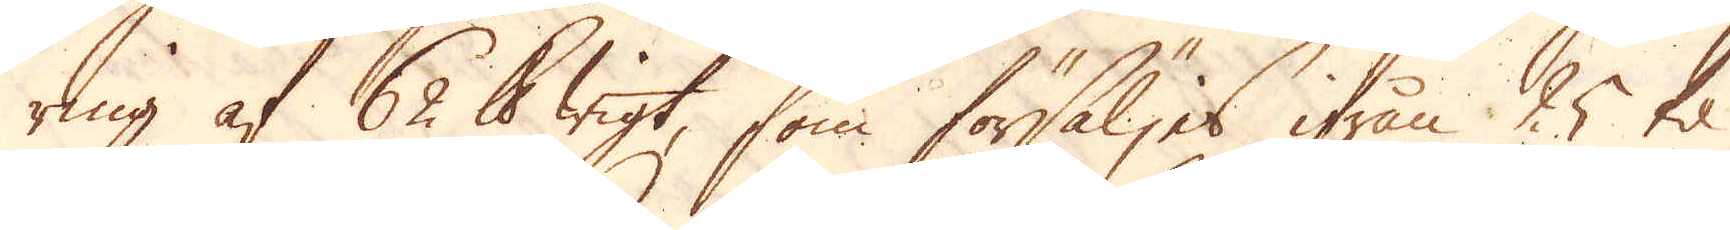ring af 62 skålpunds wigt, som försäljes ifrån 25 til
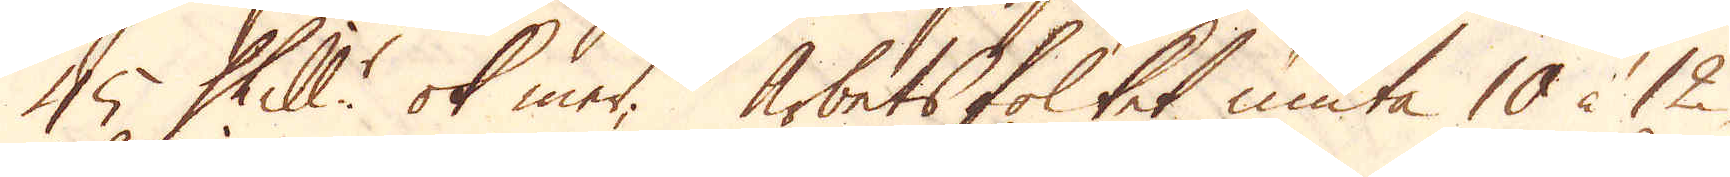45 Skill:r ok mer. Arbetsfolket niuta 10 à 12
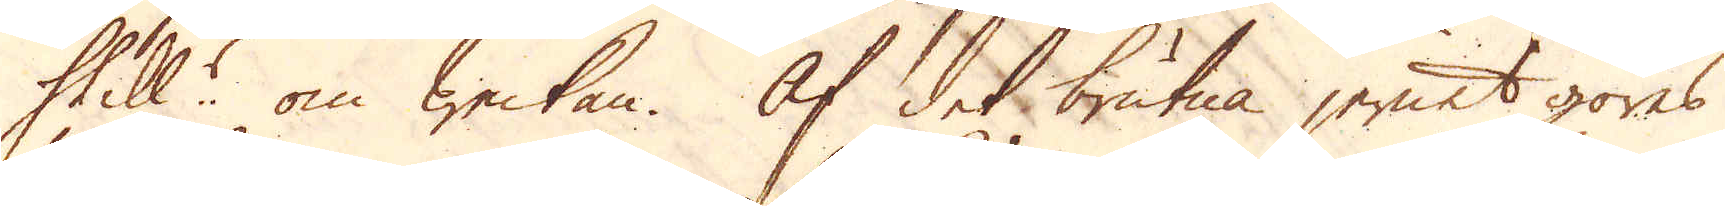Skill:r om weckan. Af det brutna jernet göres
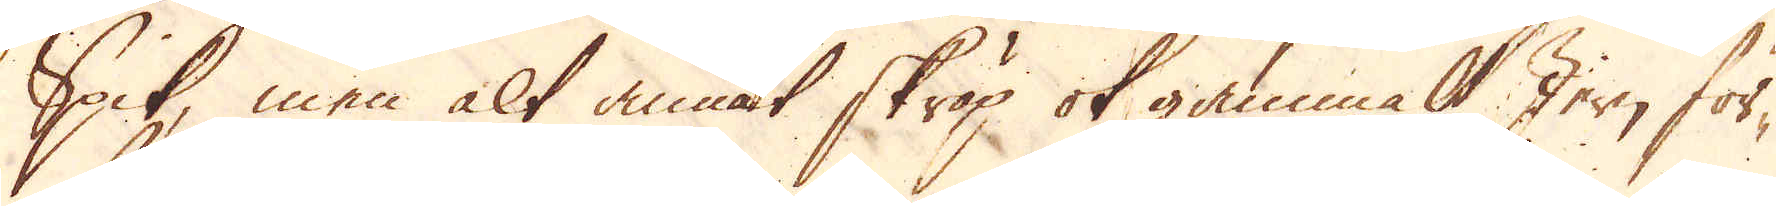Spik, men alt annat skräp ok gammalt Jern för-
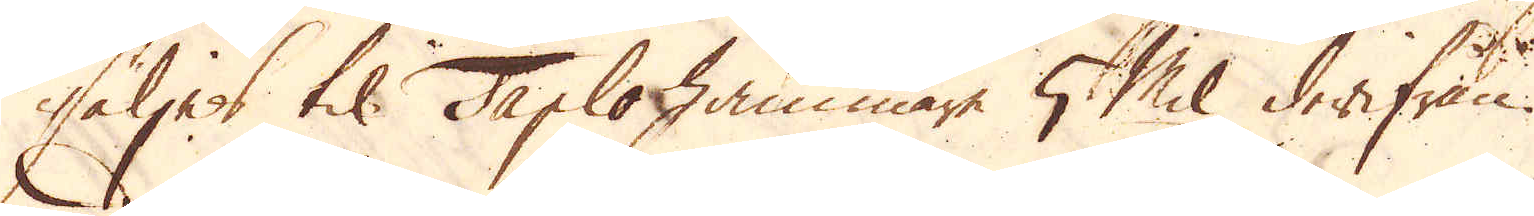säljes til Taplo hammare 5 Mil derifrån.
